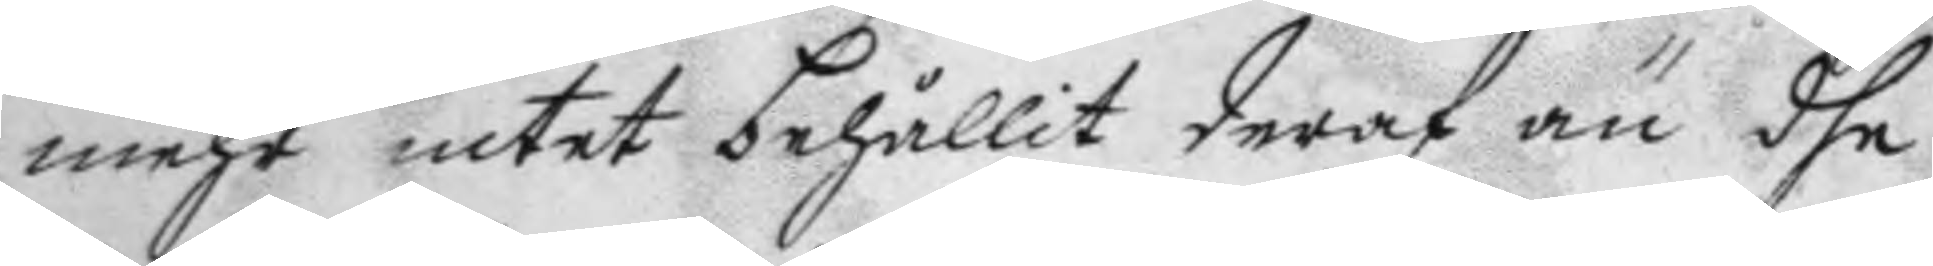mehr intet behållit deraf än dhe
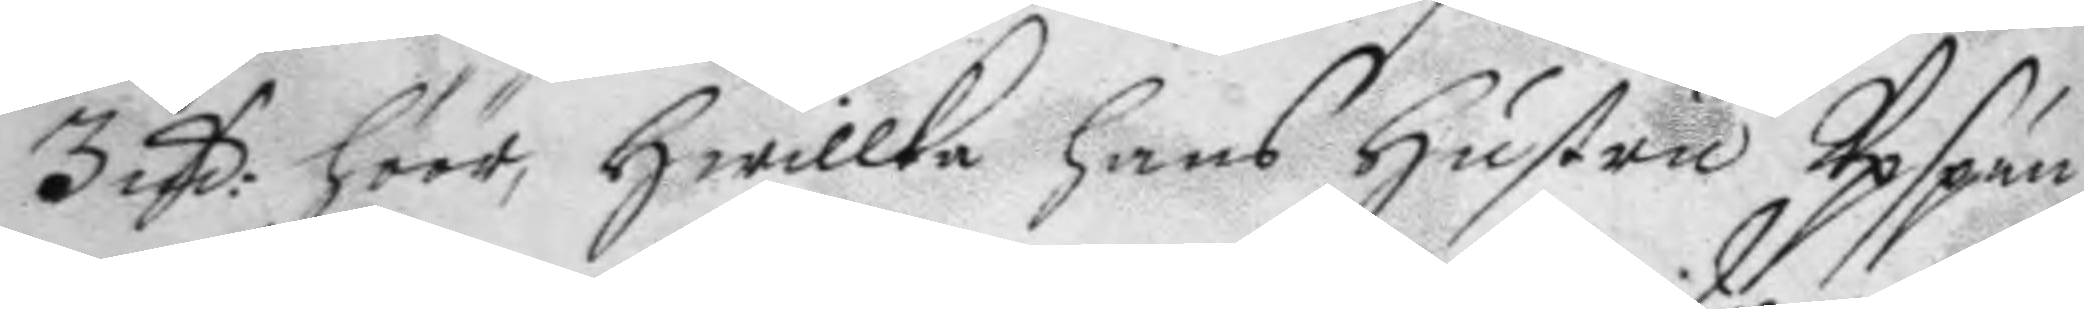3 Mrk: höör, kwilket hans hustru Upspun¬
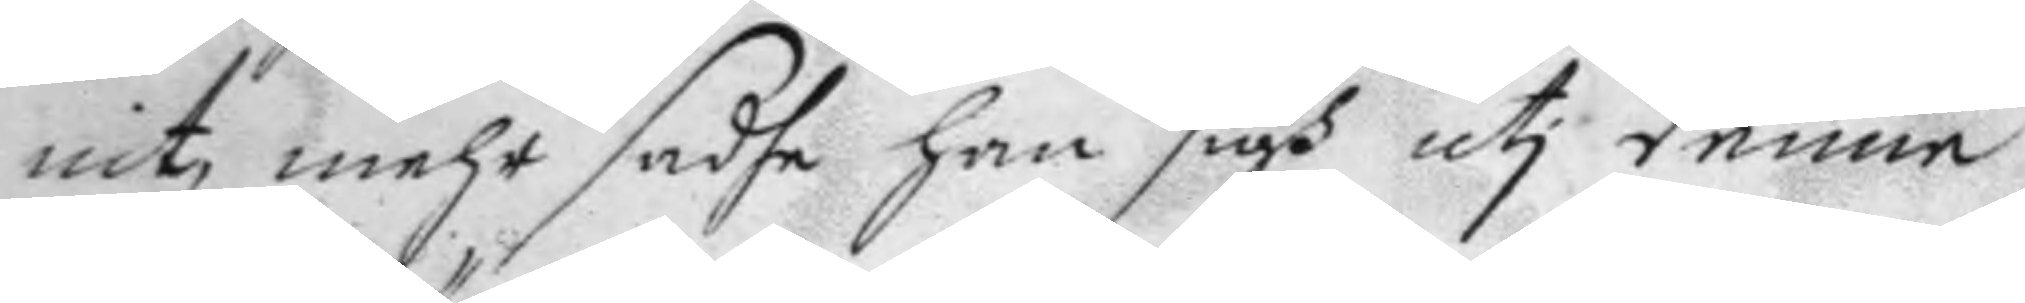nit mehr sadhe han sigh uti denne
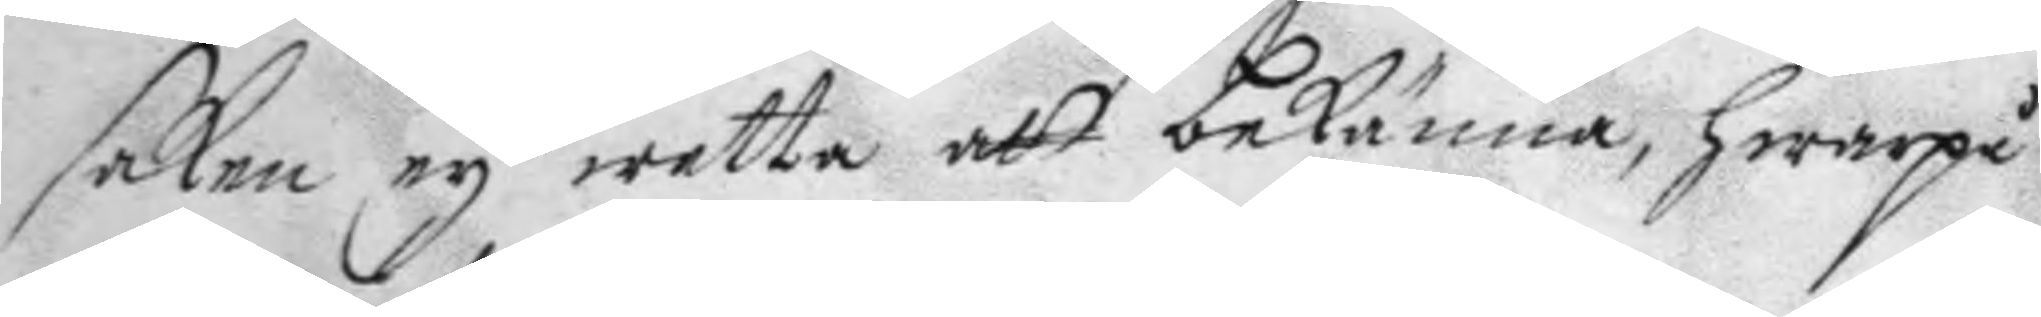saken ey wetta att bekänna, hwarpå
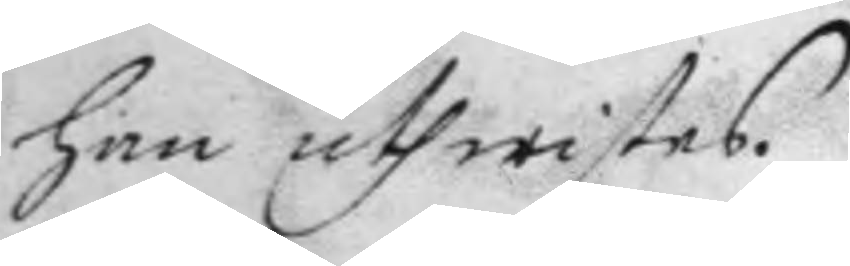han uthwistes.
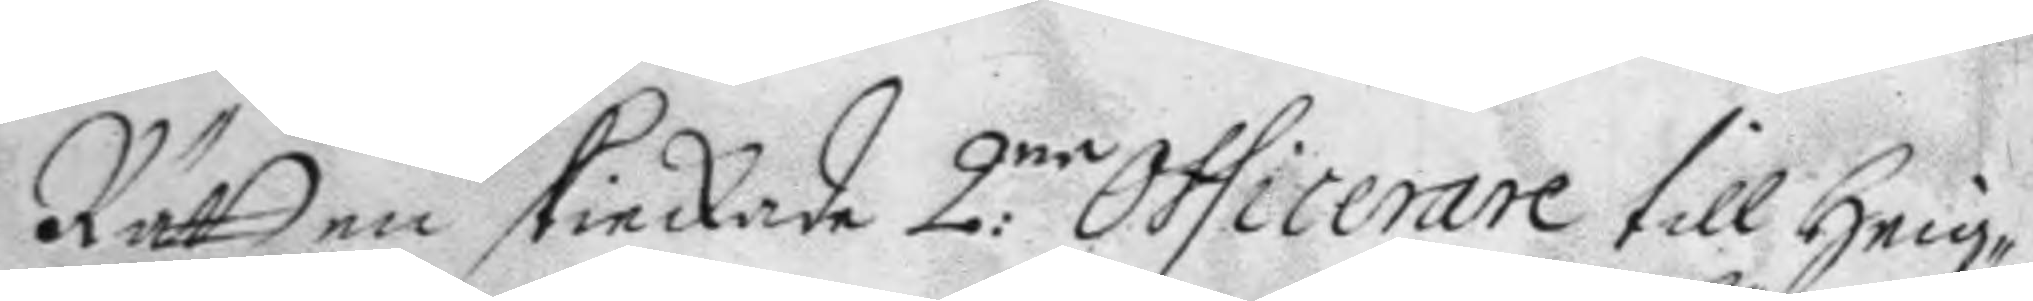Rätten skickade 2:ne Officerare till heig¬
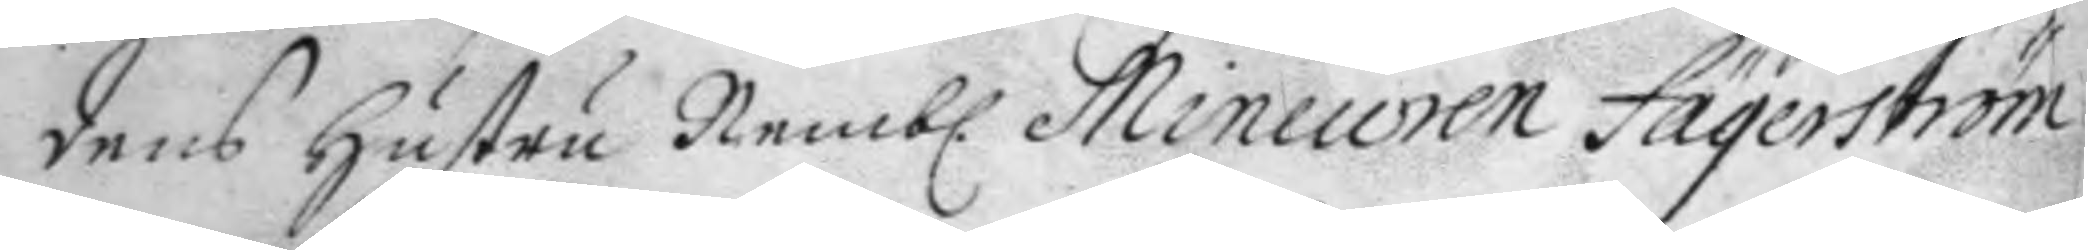dens hustru Nemb. Mineuren Fägerström
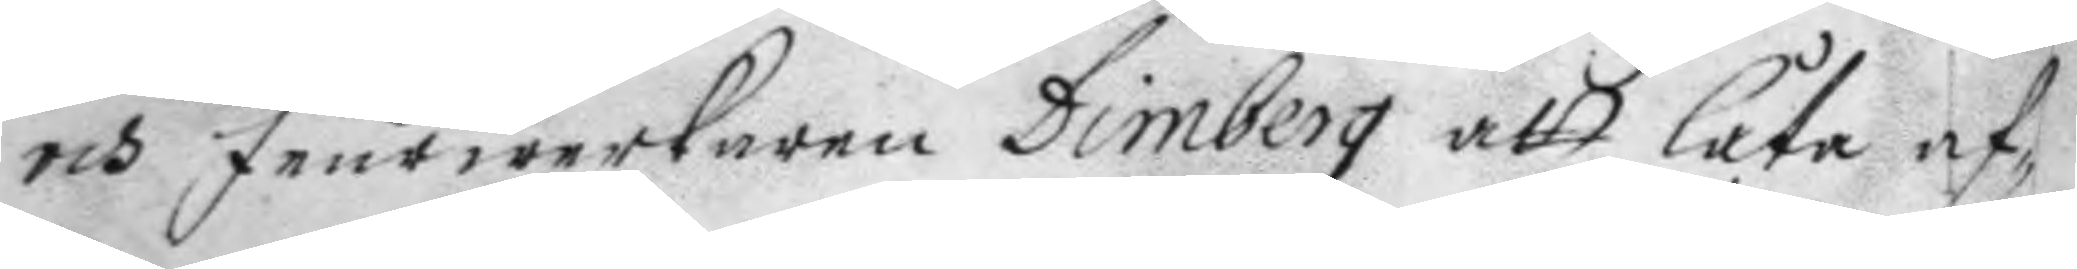och feurwerkaren Dimberg att låta af
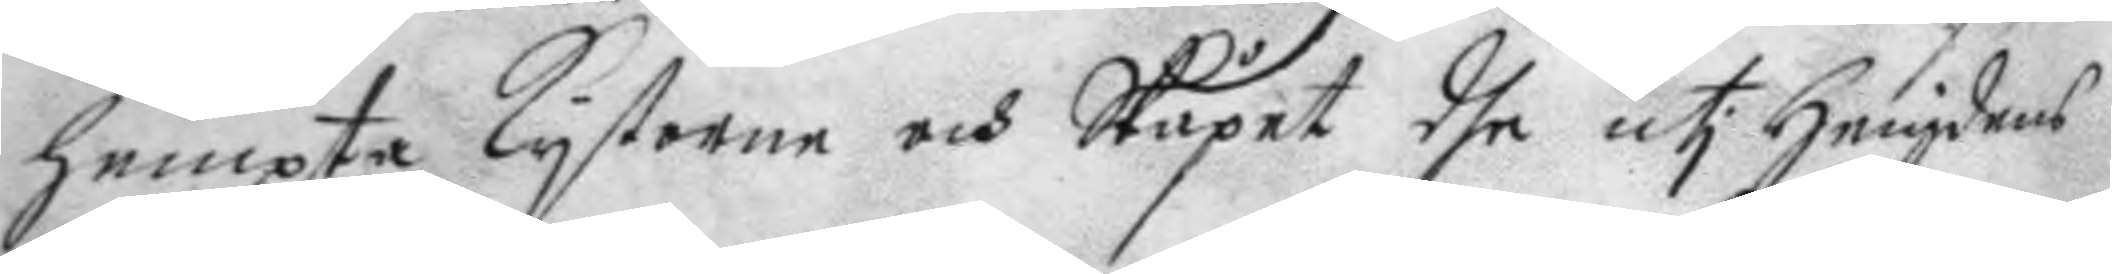hempta kystorne och Stupet dhe uti heigdens
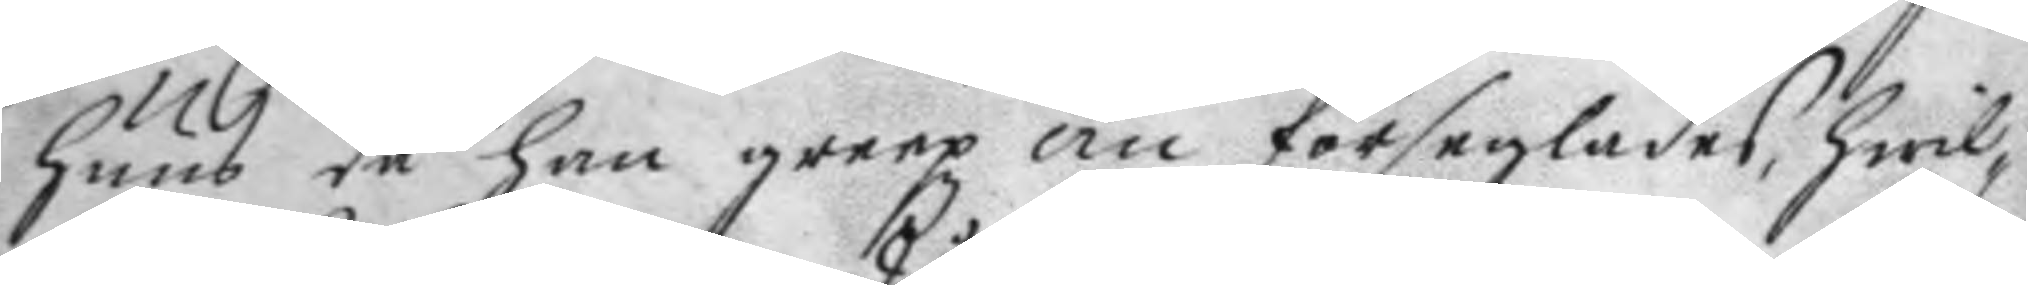huus då han greep om förseglades, hwil¬
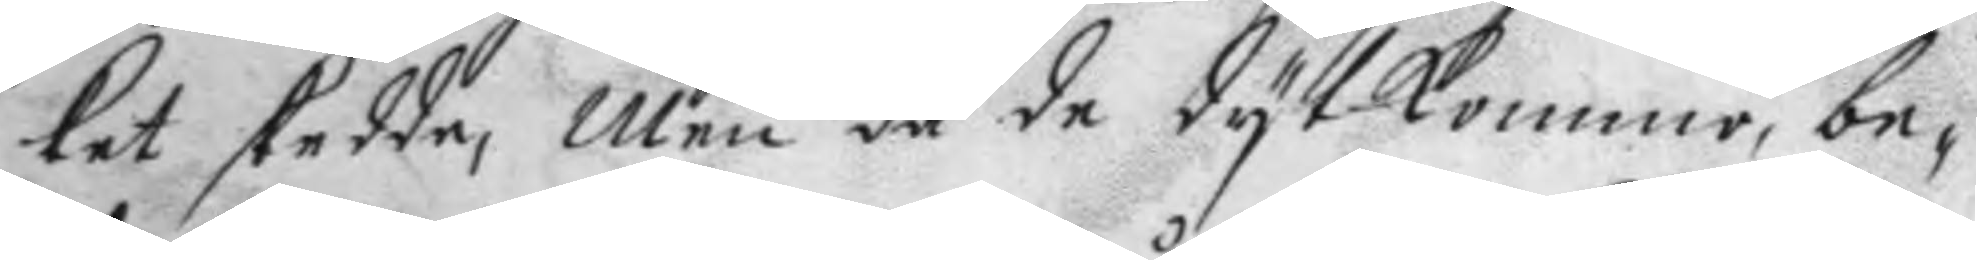ket skedde, Men då de dyt komme, be¬
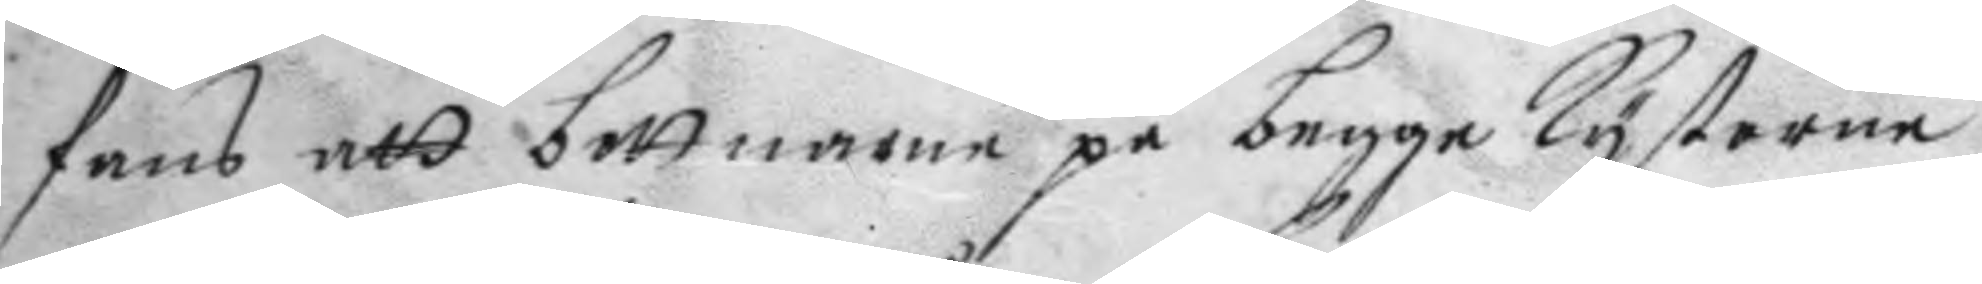fans att bottnarne på begge kystorne
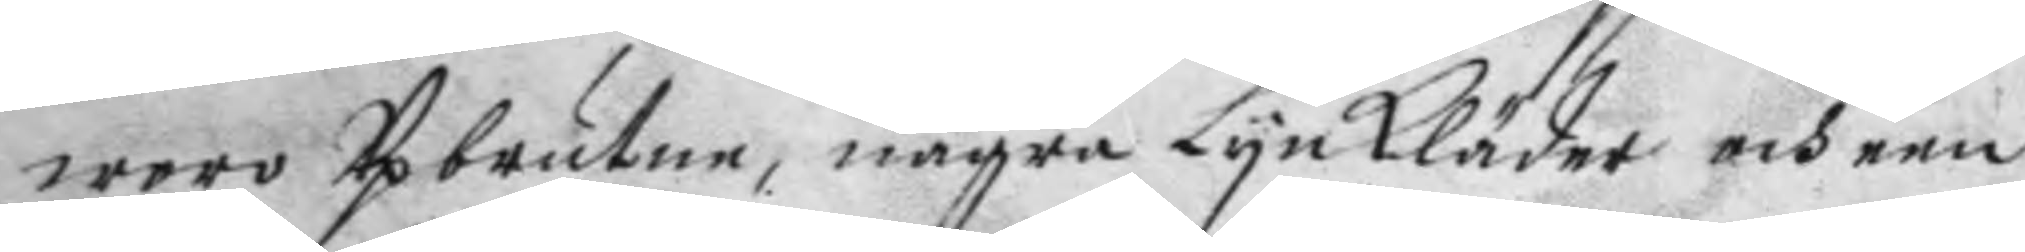woro Upbrutne, några Lynkläder och een
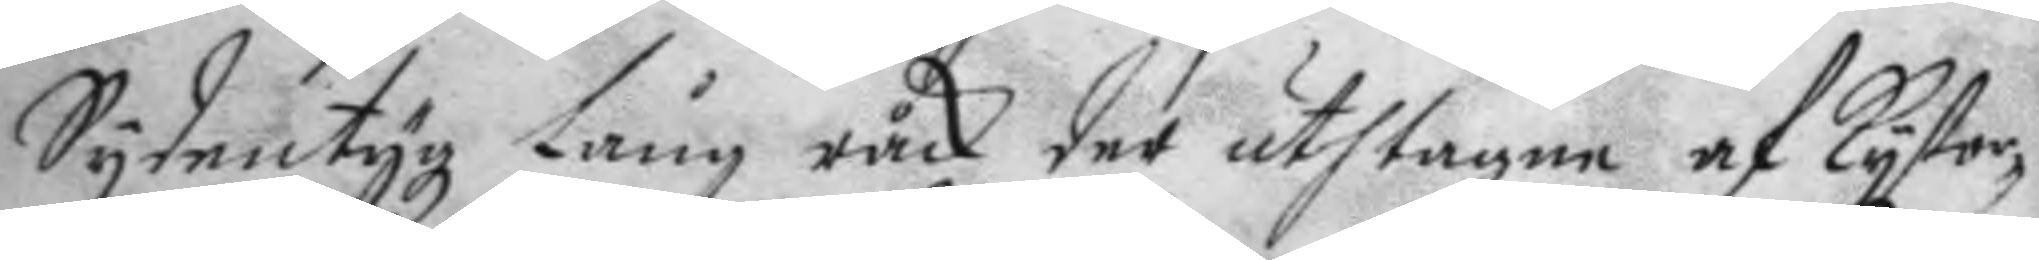Sydentygz Lång råck der uthtagne af kysto¬
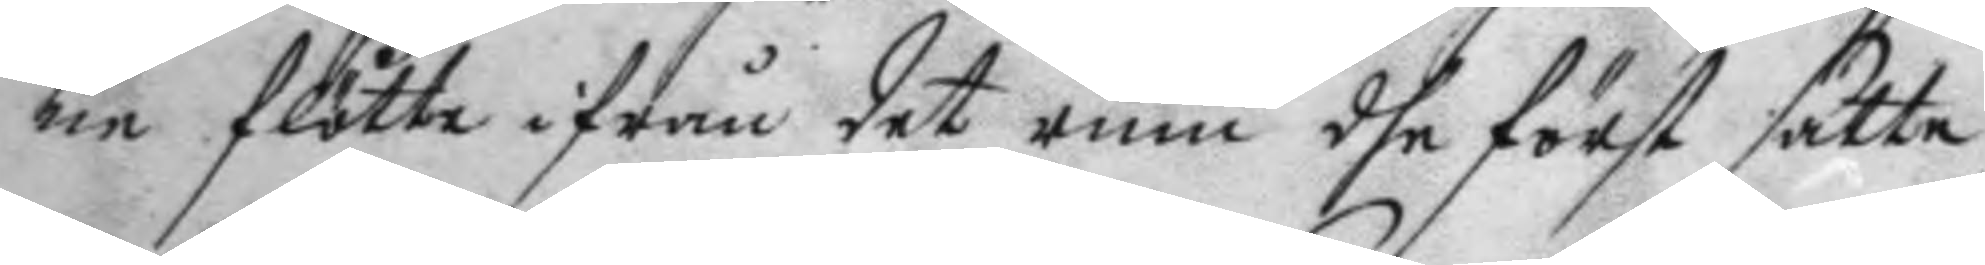ne flötte ifrån det rum dhe först satte
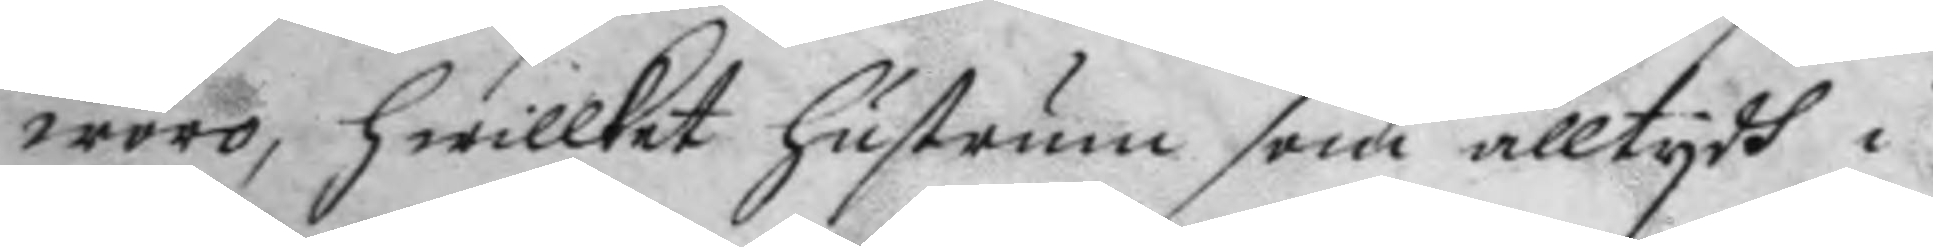woro, hwilket hustrun som alltydh i
